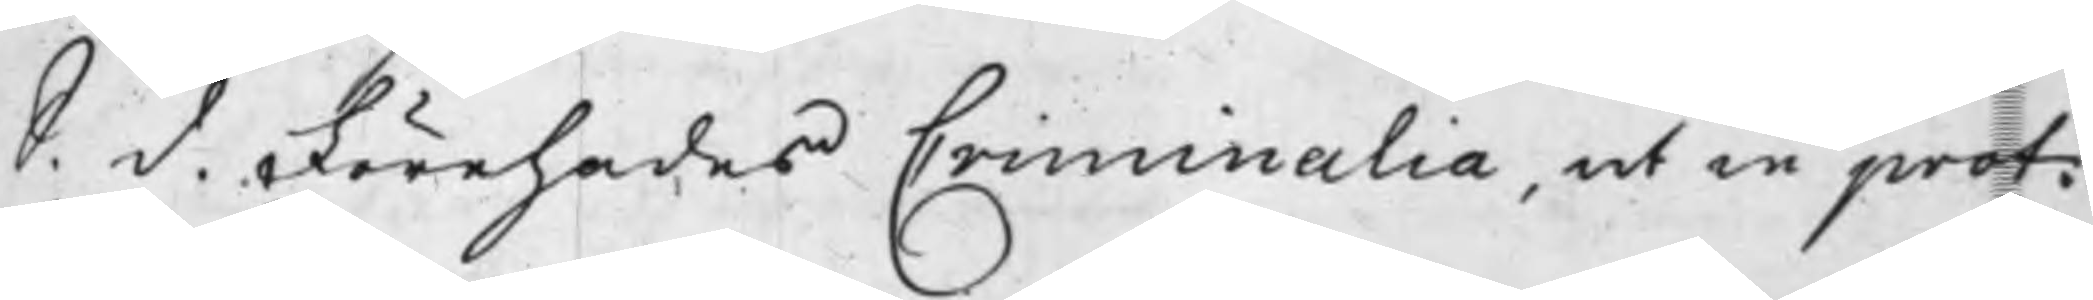S. d. Förehades Criminalia, ut in prot:
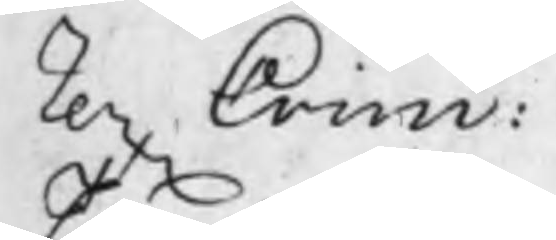rex Crim:
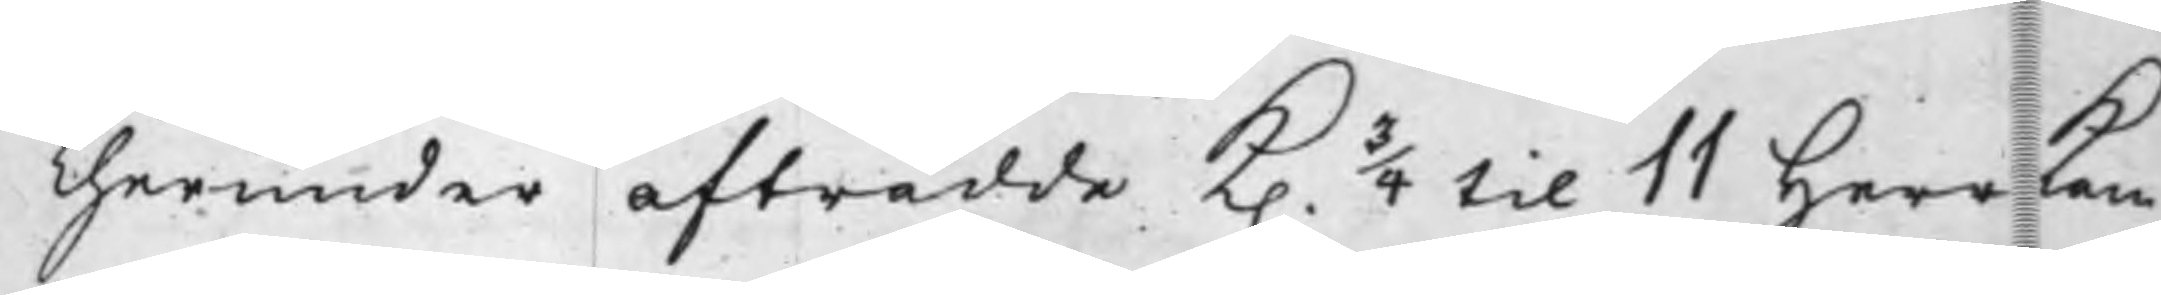Therunder afträdde K. 3/4 til 11 Herr Kam¬
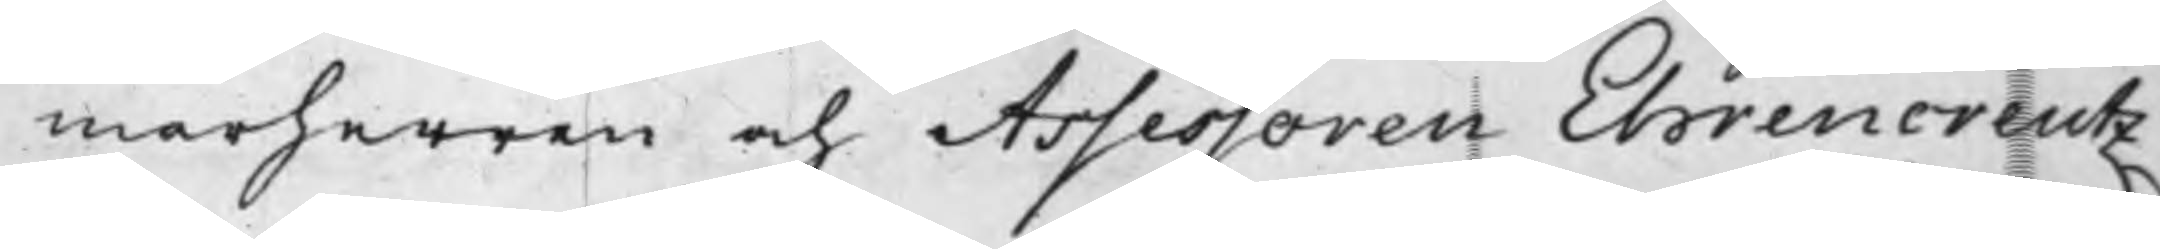marherren och Assessoren Ehrencreutz
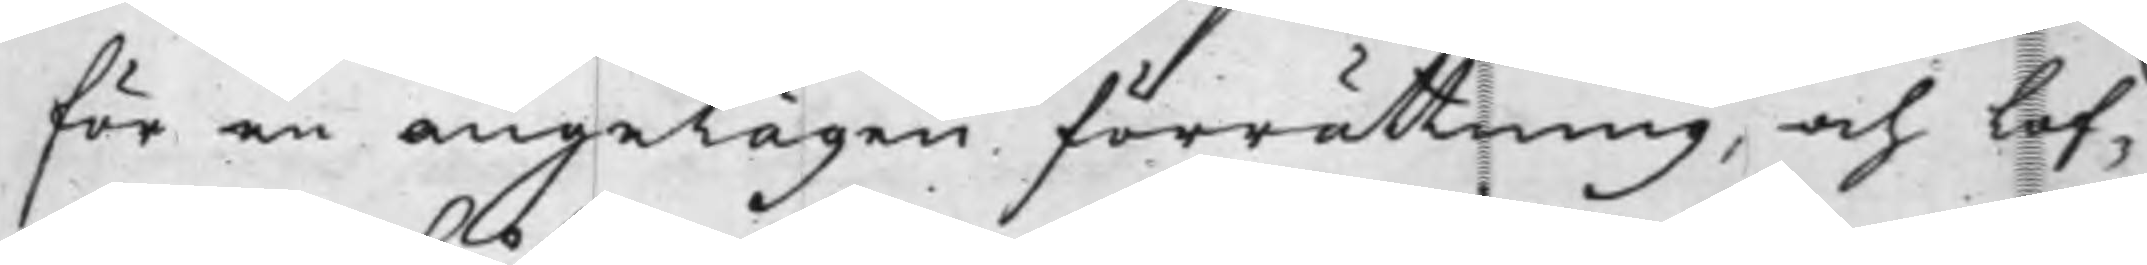för en angelägen förrättning, och lof¬
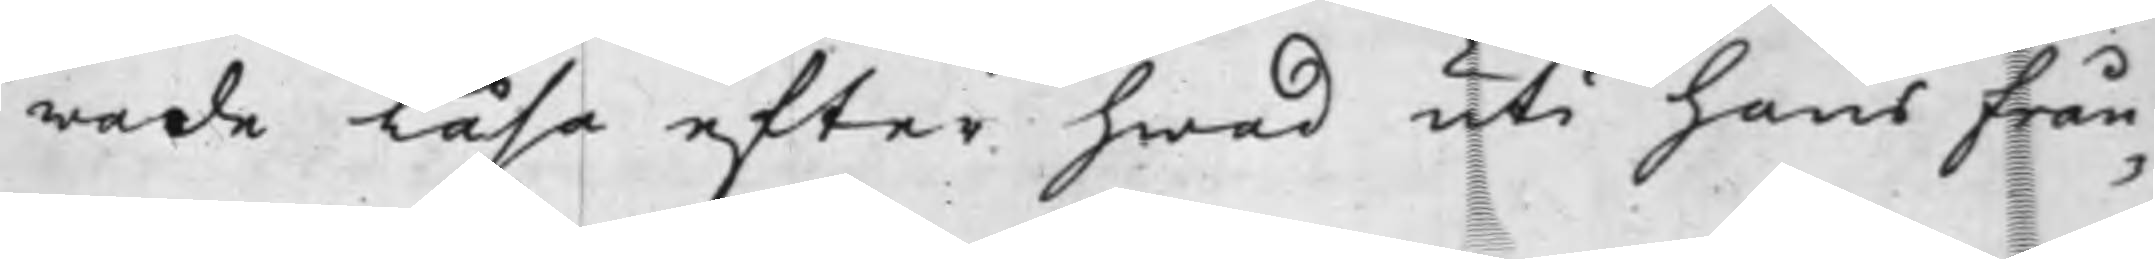wade läsa efter hwad uti hans från¬
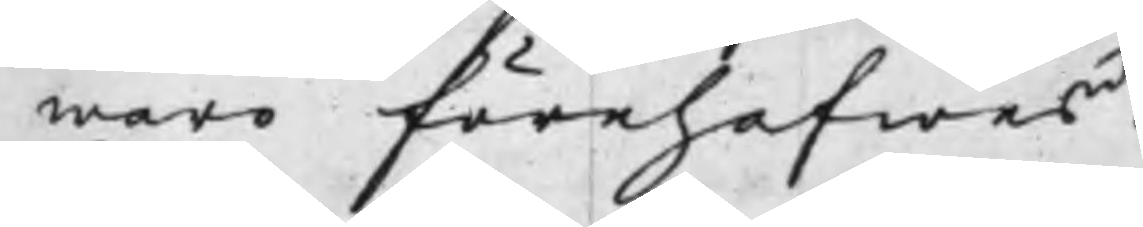waro förehafwas.
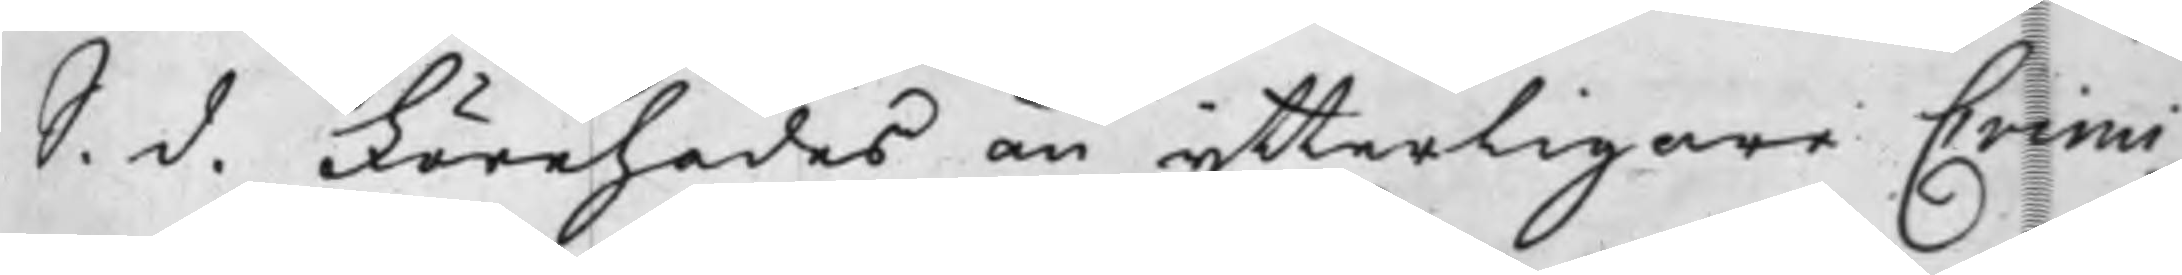S. d. Förehades än ytterligare Crimi¬
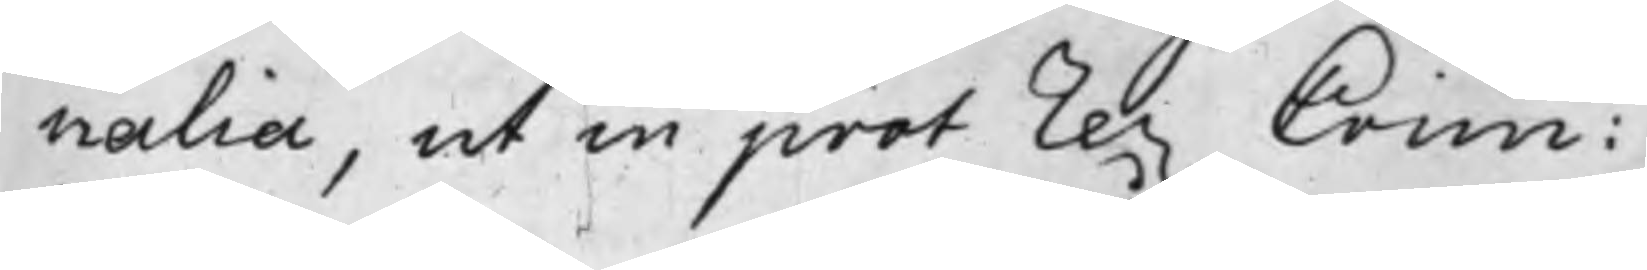nalia, ut in prot rex Crim:
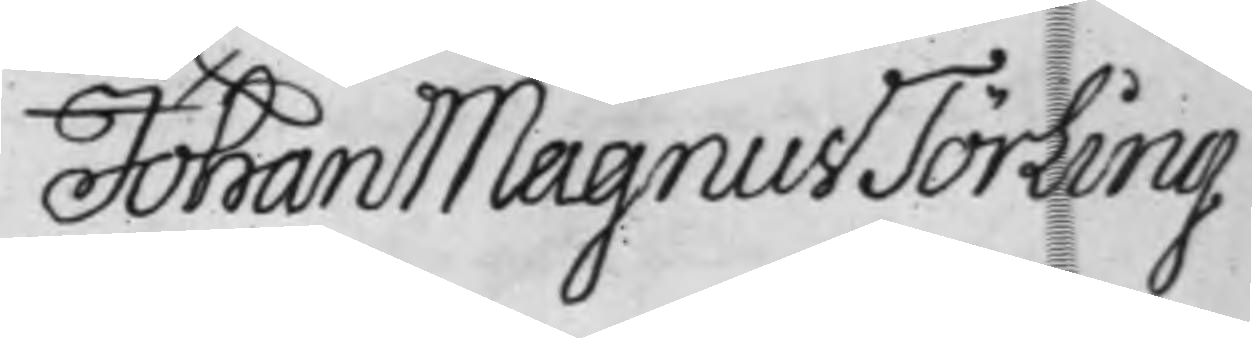Johan Magnus Törling
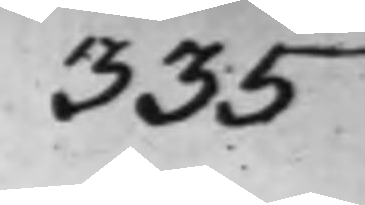335
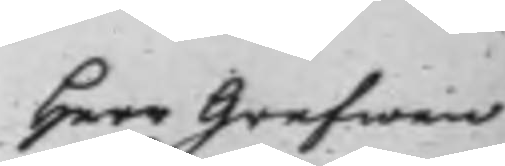Herr Grefwen
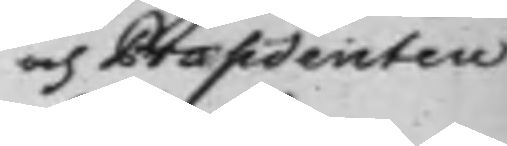och Præsidenten
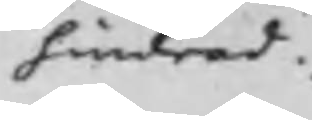hindrad.
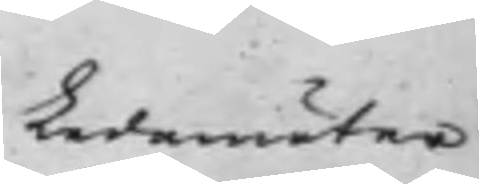Ledamöter
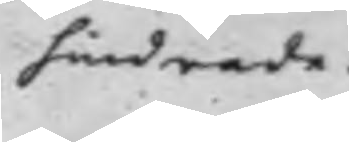hindrade.
